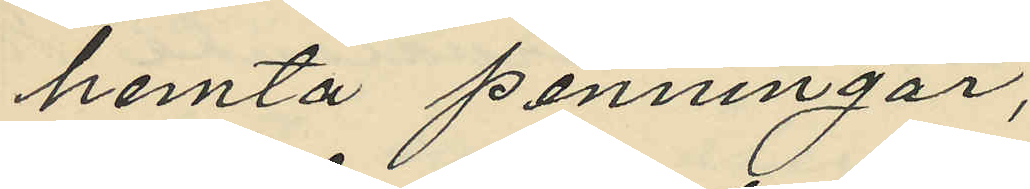hemta penningar;
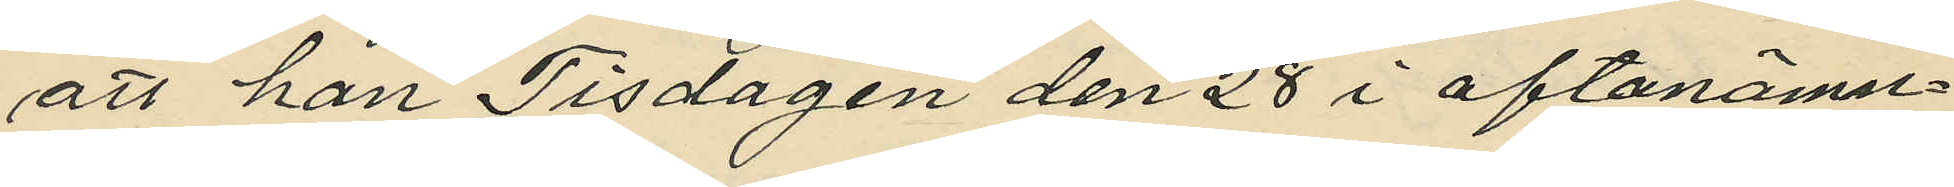att han Tisdagen den 28 i oftanämn¬
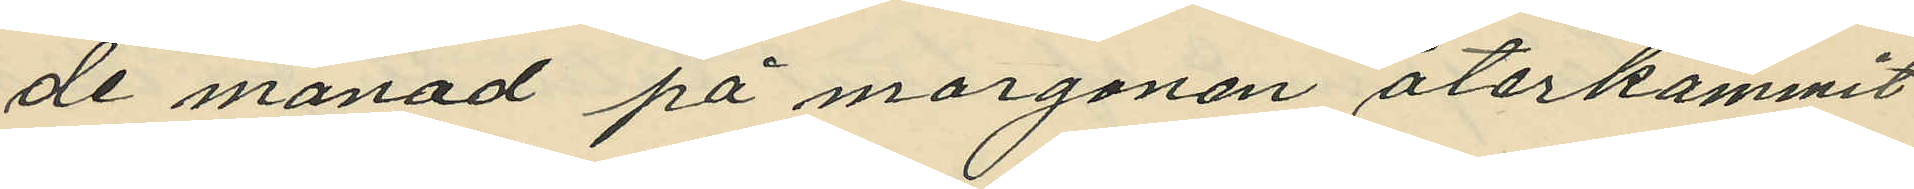de månad på morgonen återkommit
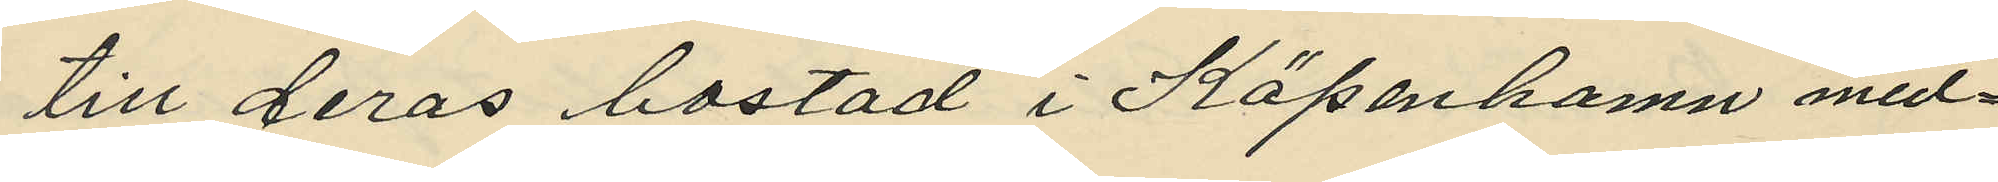till deras bostad i Köpenhamn med¬
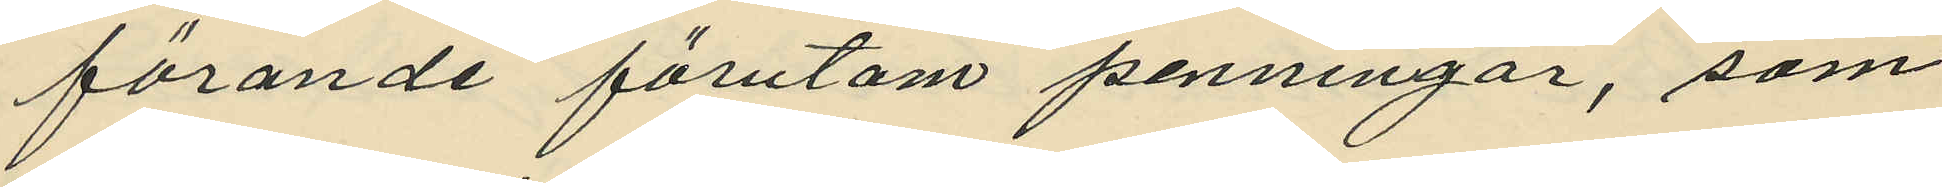förande förutom penningar, som
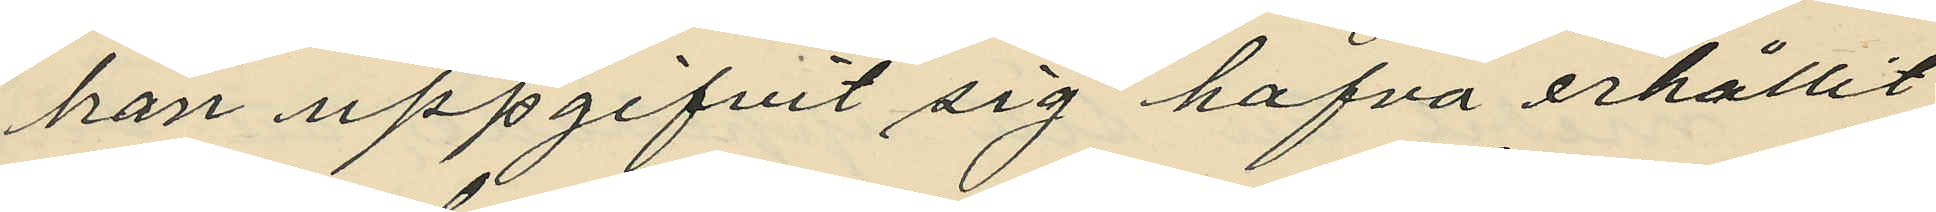han uppgifvit sig hafva erhållit
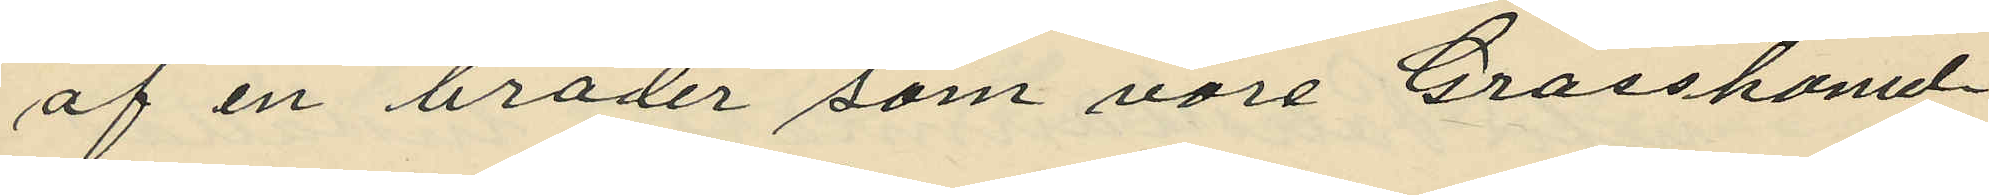af en broder som vore Grosshand¬
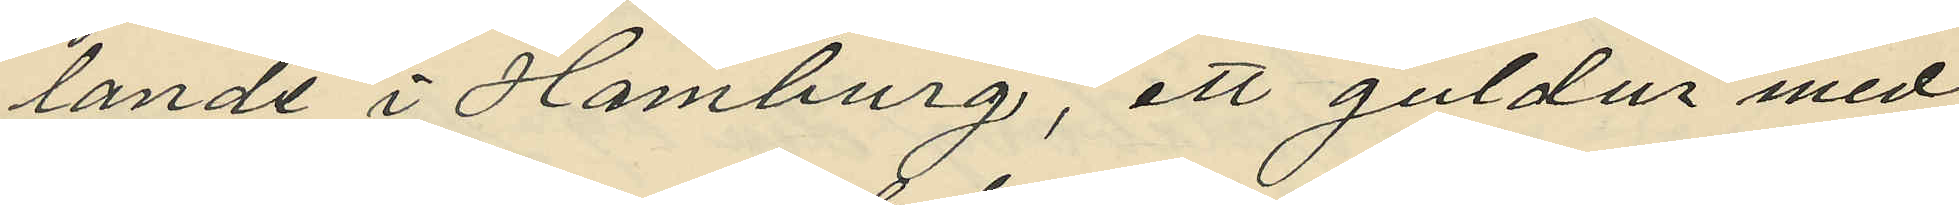lande i Hamburg, ett guldur med
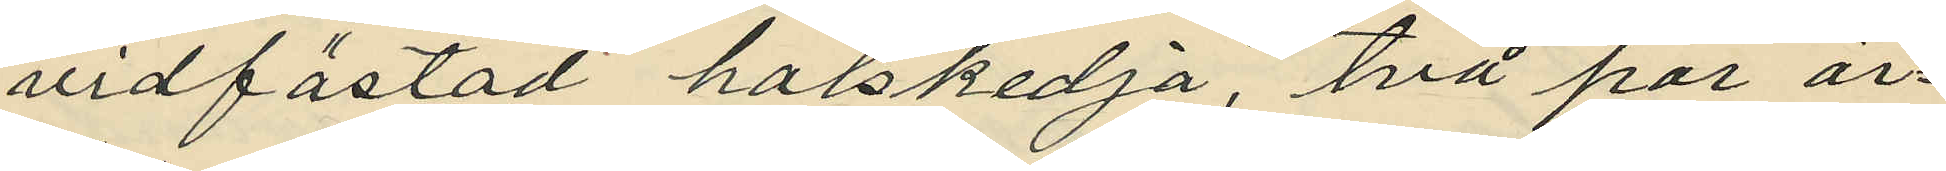vidfästad halskedja, två par ör¬
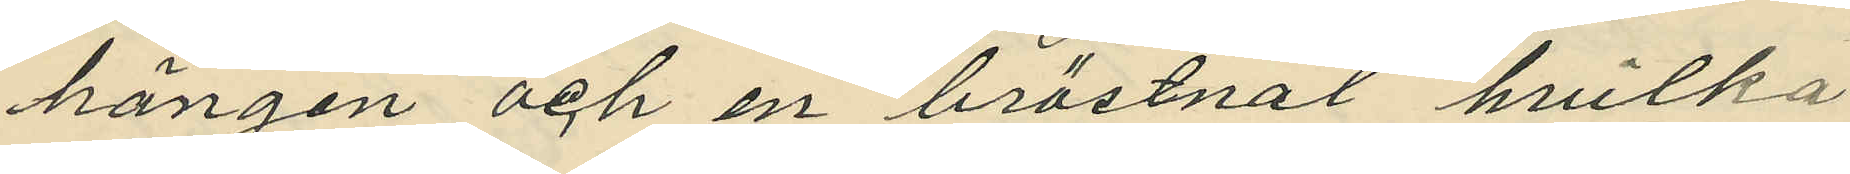hängen och en bröstnål hvilka
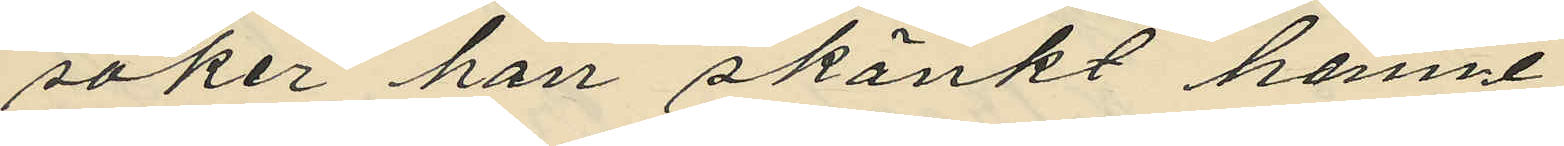saker han skänkt henne;
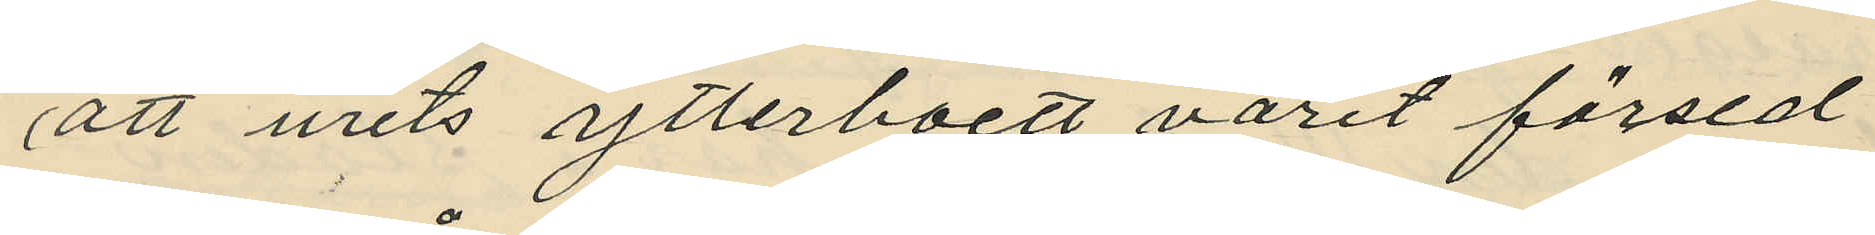att urets ytterboett varit försed
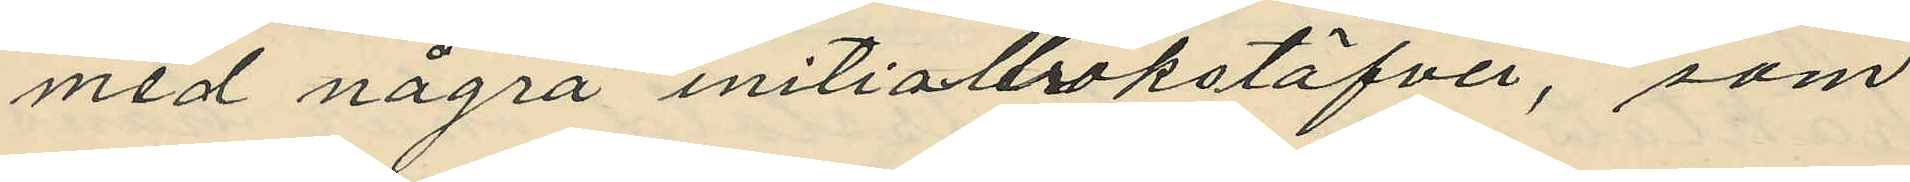med några initialbokstäfver, som
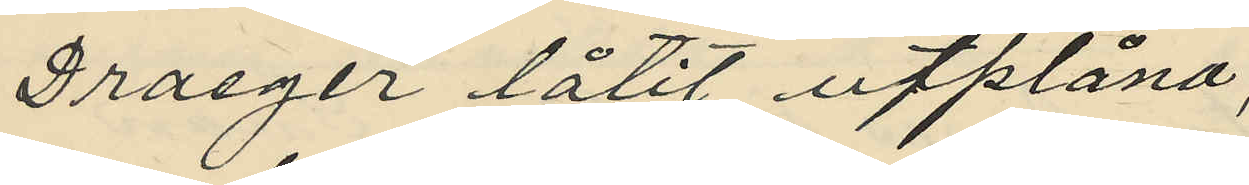Draeger låtit utplåna;
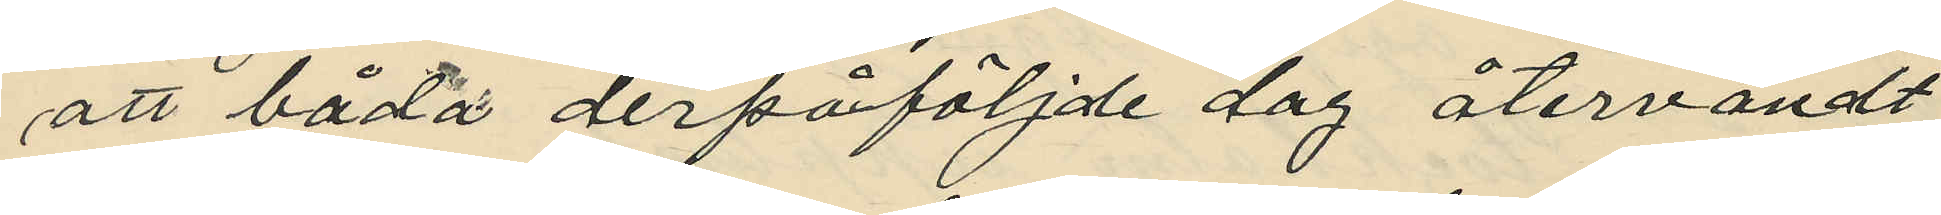att båda derpåföljde dag återvändt
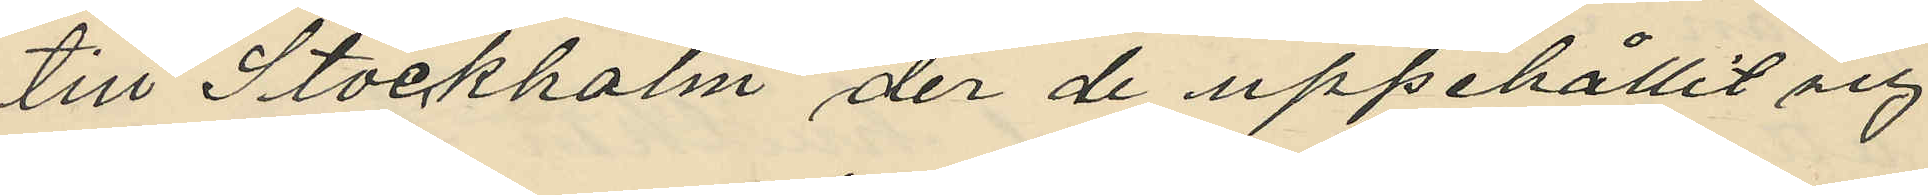till Stockholm der de uppehållit sig
